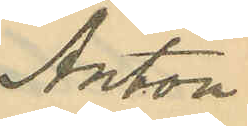Anton
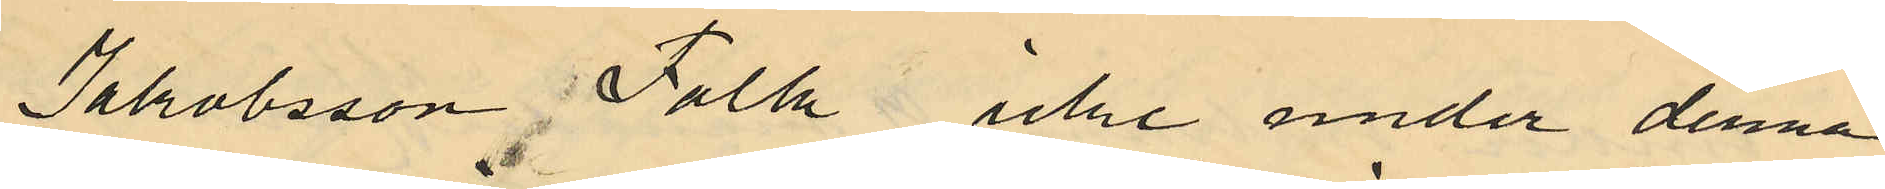Jakobsson Falk icke under denna
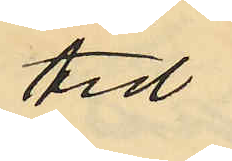tid
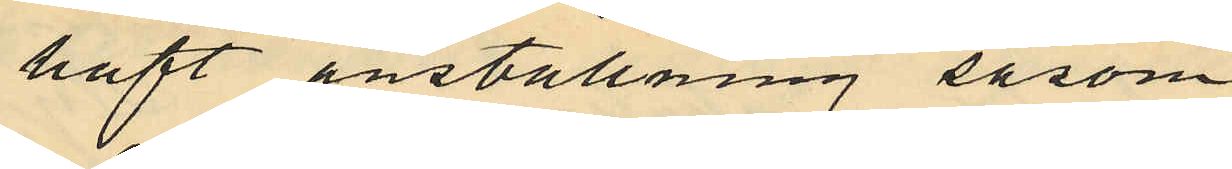haft anställning såsom
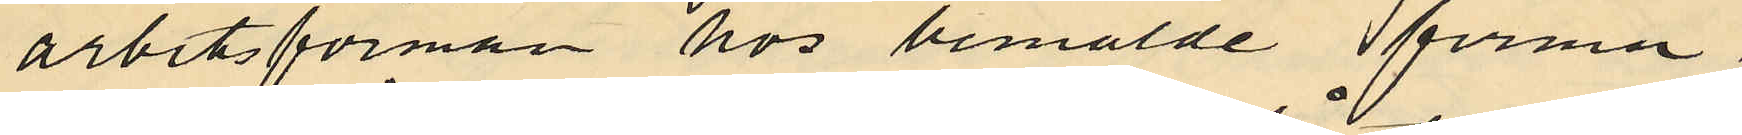arbetsförman hos bemälde firma
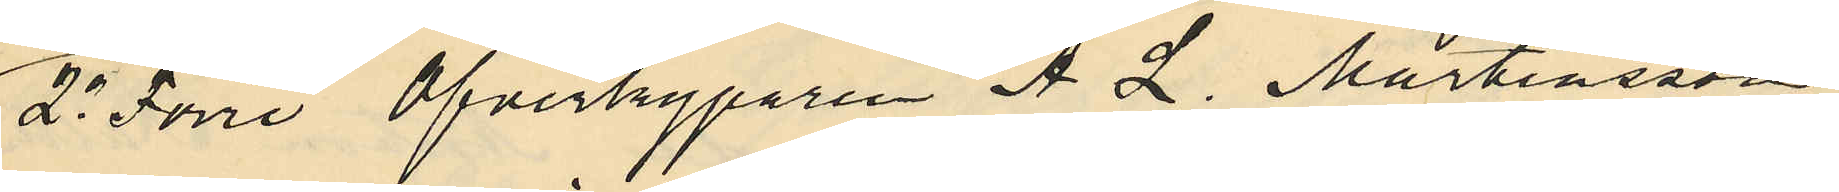2o Förre Öfverkyparen A. L. Mårtensson
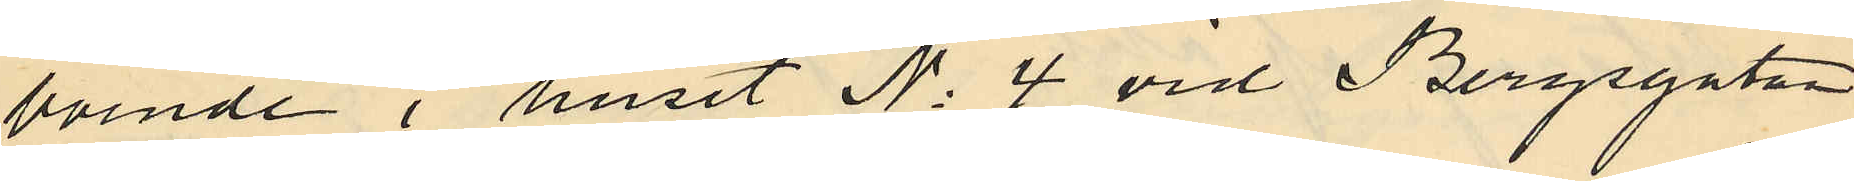boende i huset No 4 vid Bergsgatan
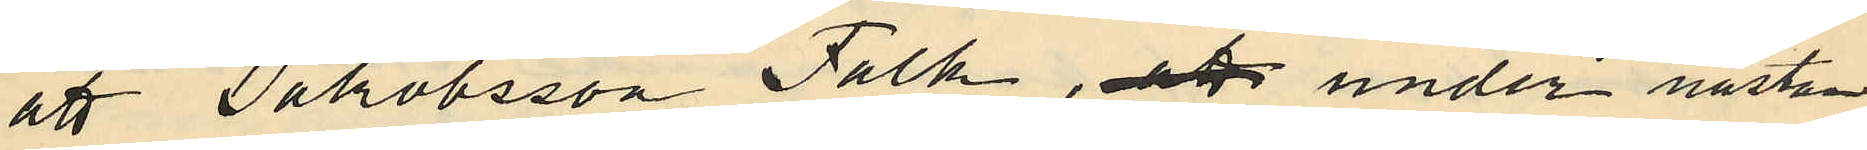att Jakobsson Falk, att under nästan
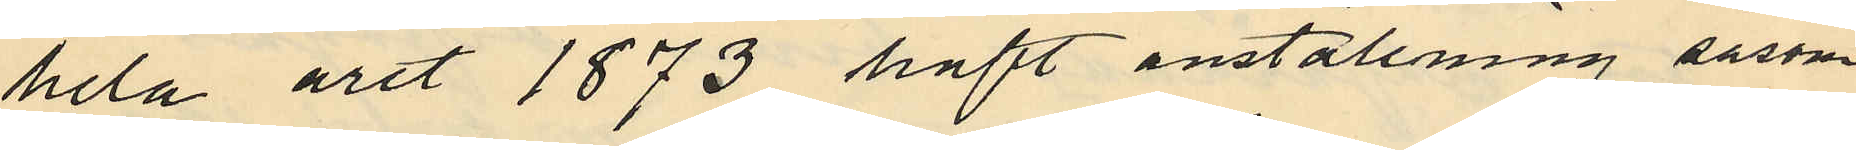hela året 1873 haft anställning såsom
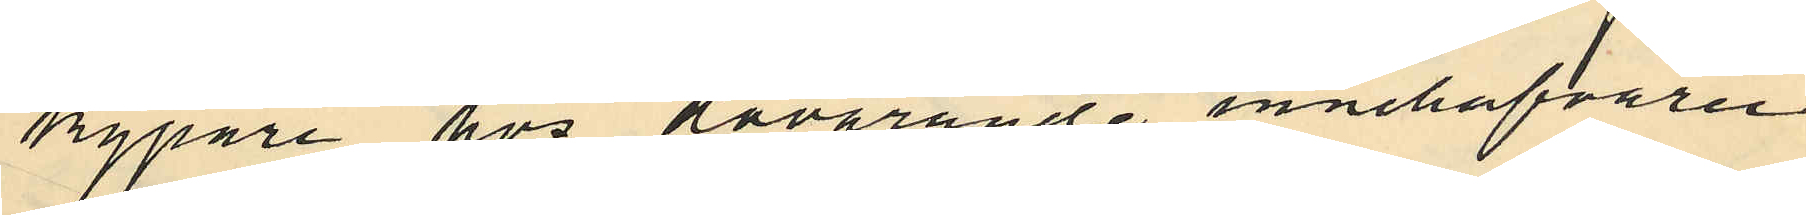kypare hos dåvarande innehafvaren
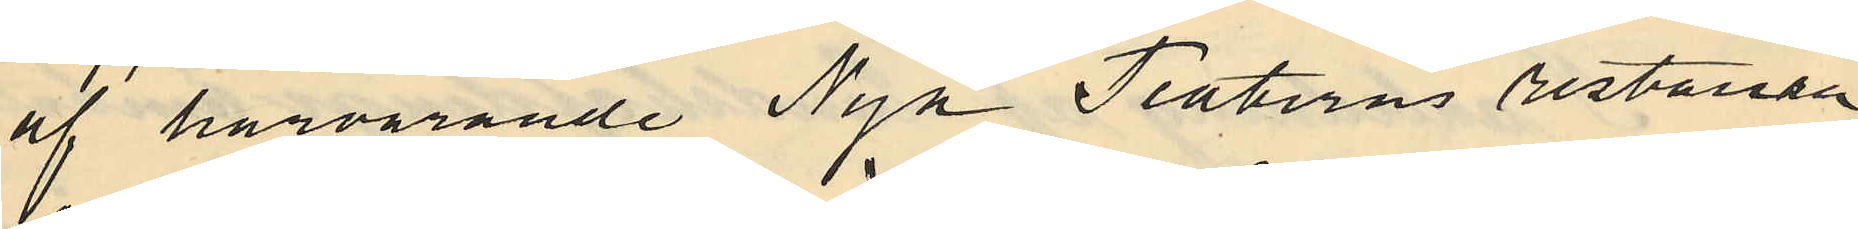af härvarande Nya Teaterns restaura¬
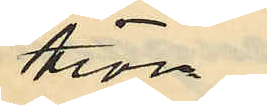tion
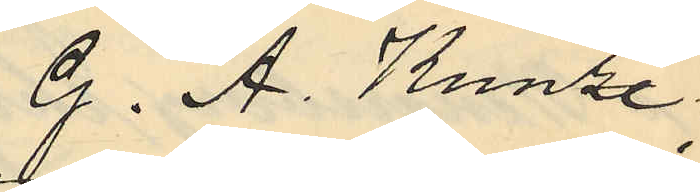G. A. Kunze,
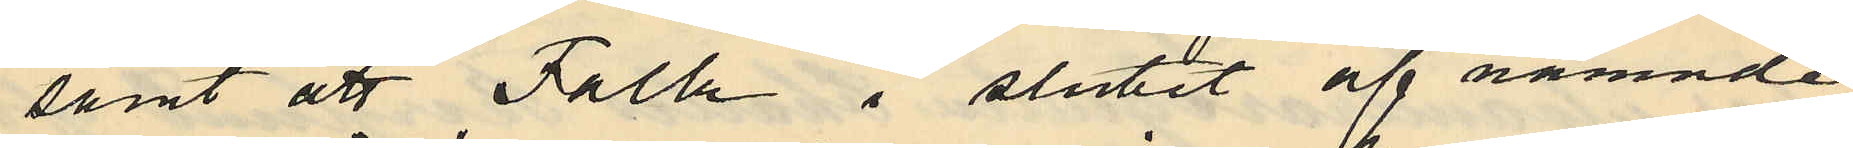samt att Falk i slutet af nämnde
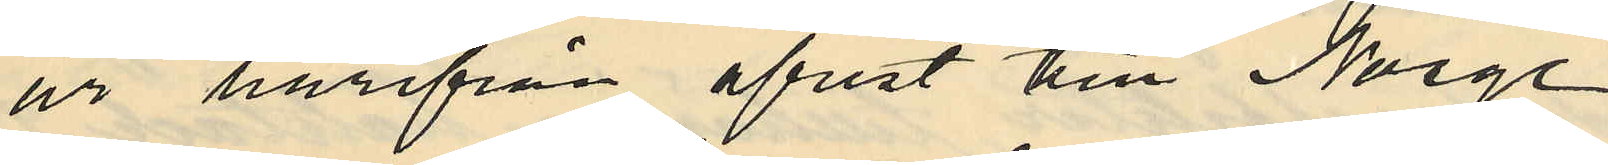år härifrån afrest till Norge
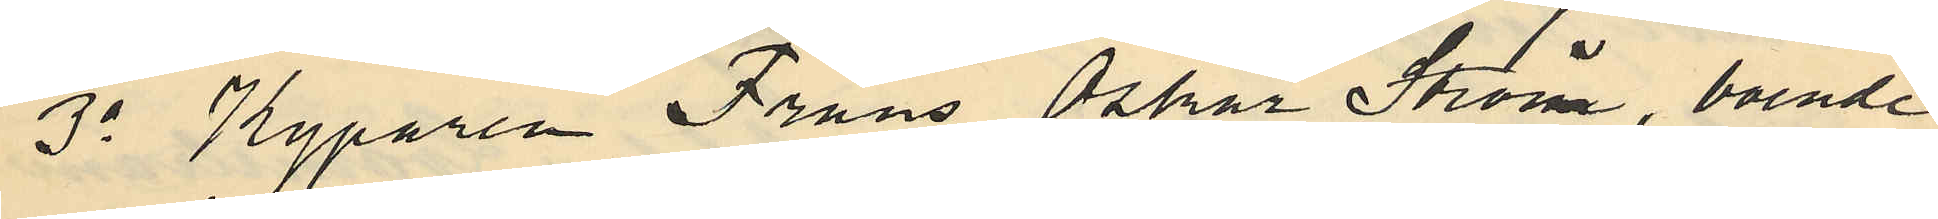3o Kyparen Frans Oskar Ström, boende
